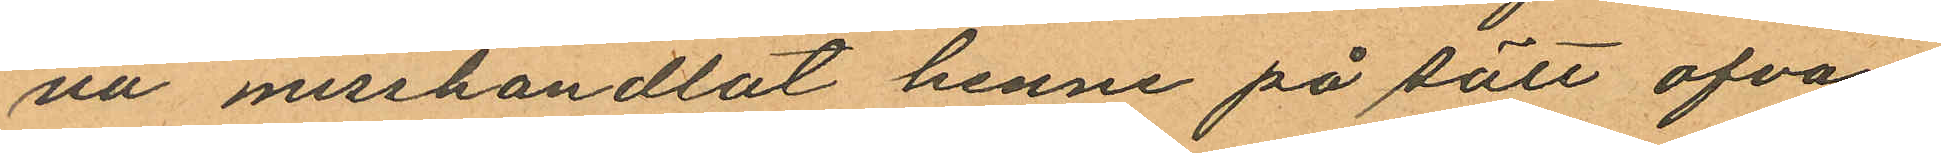na misshandlat henne på sätt ofvan
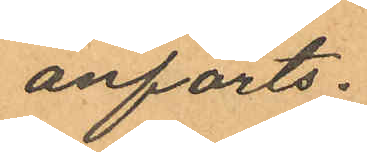anförts.
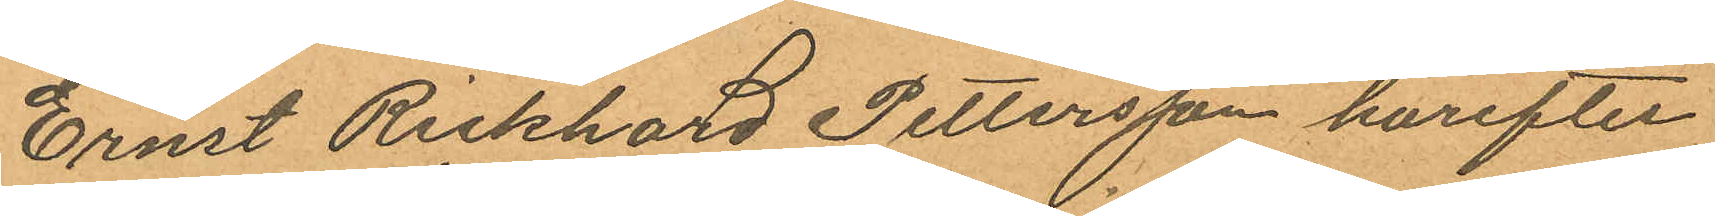Ernst Rickhard Pettersson härefter
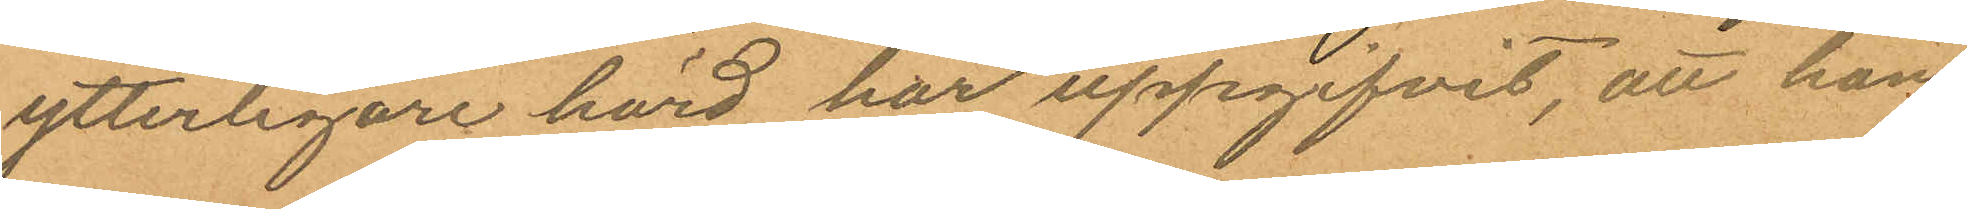ytterligare hörd har uppgifvit, att han
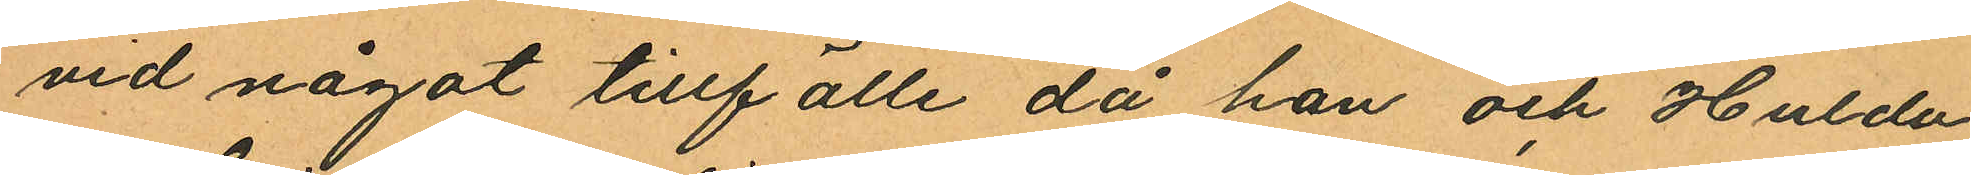vid något tillfälle då han och Hulda
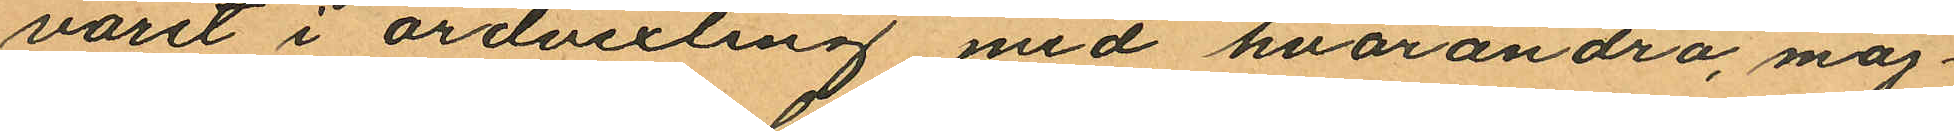varit i ordvexling med hvarandra, möj¬
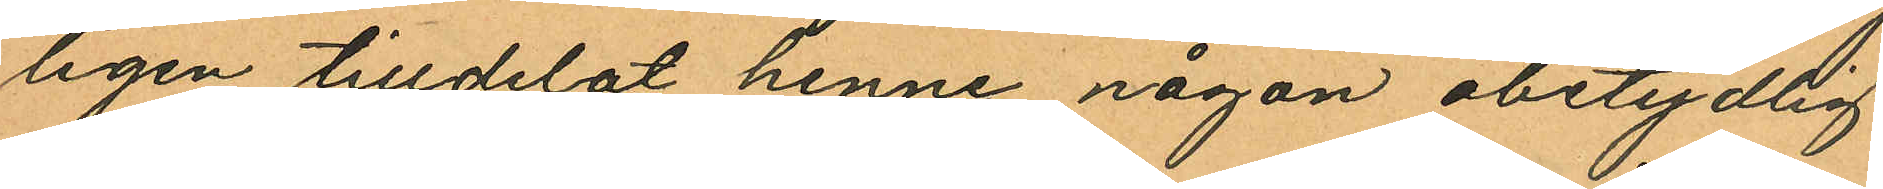ligen tilldelat henne någon obetydlig
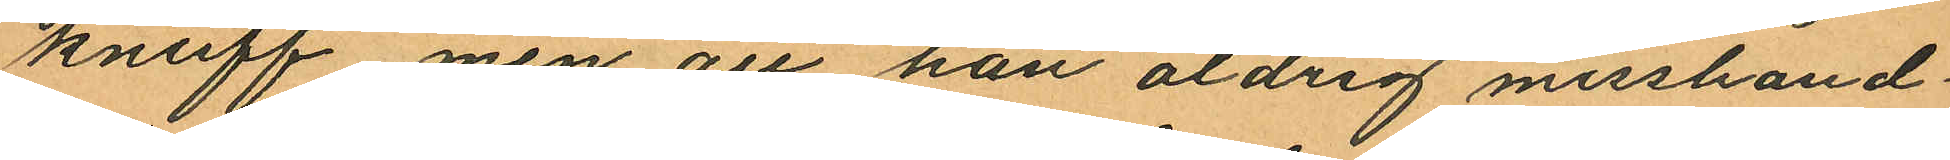knuff men att han aldrig misshand¬
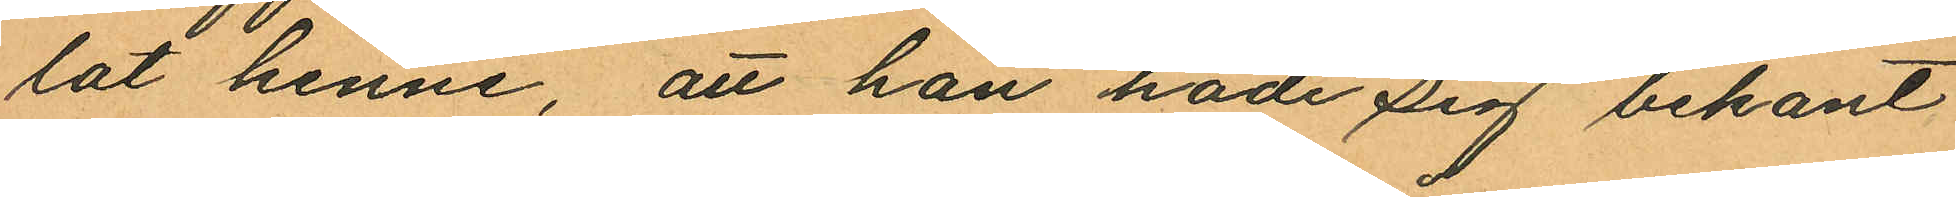lat henne, att han hade sig bekant
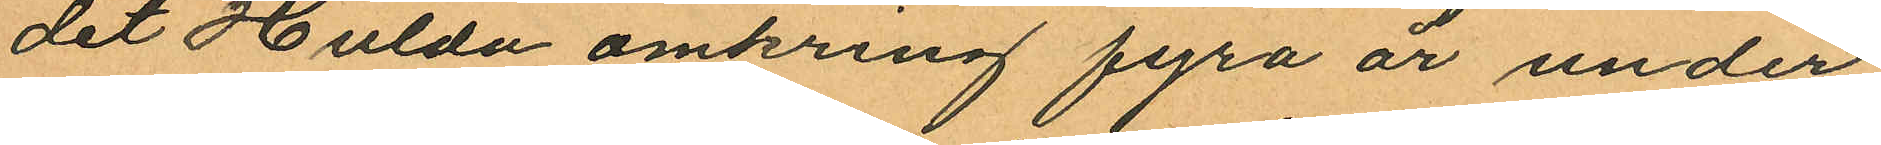det Hulda omkring fyra år under
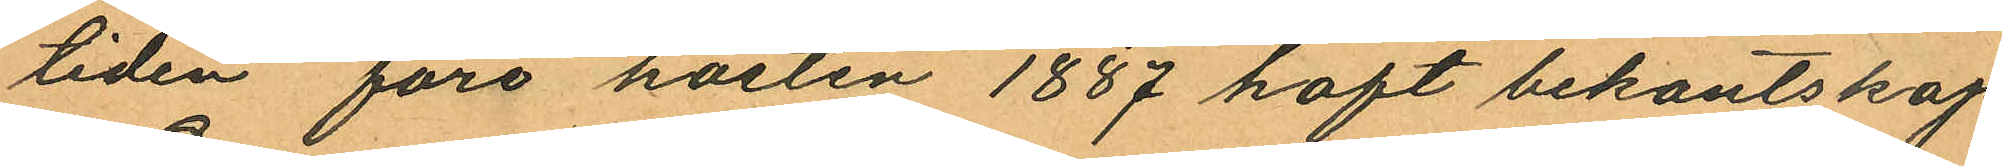tiden före hösten 1887 haft bekantskap
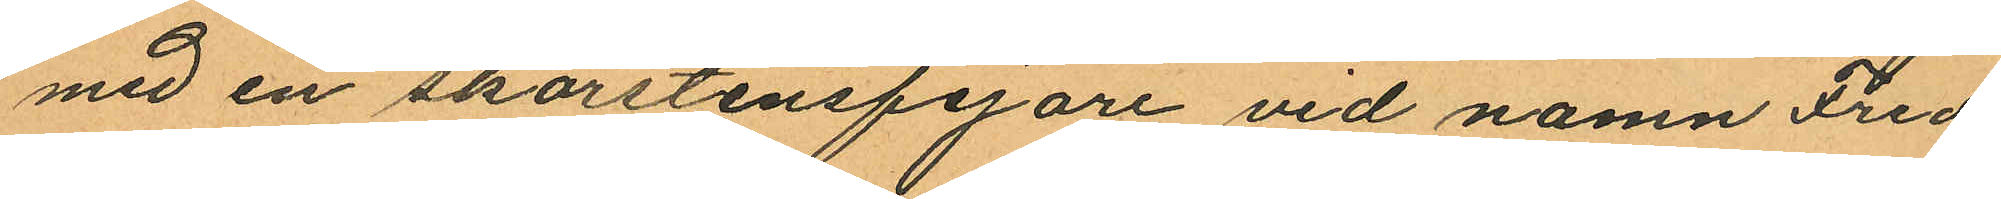med en skorstensfejare vid namn Fred¬
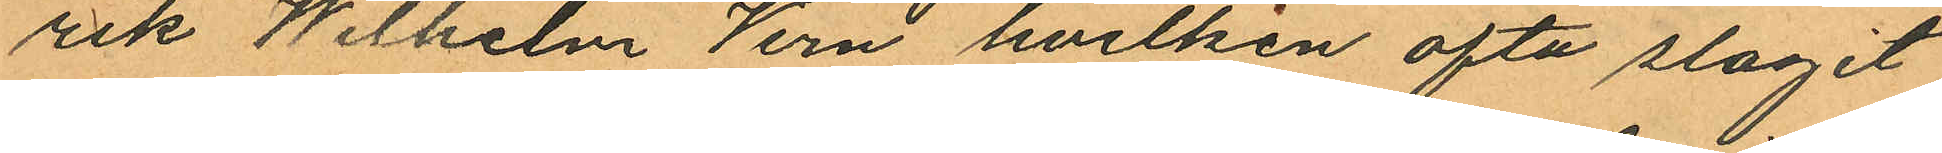rik Wilhelm Vern hvilken ofta slagit
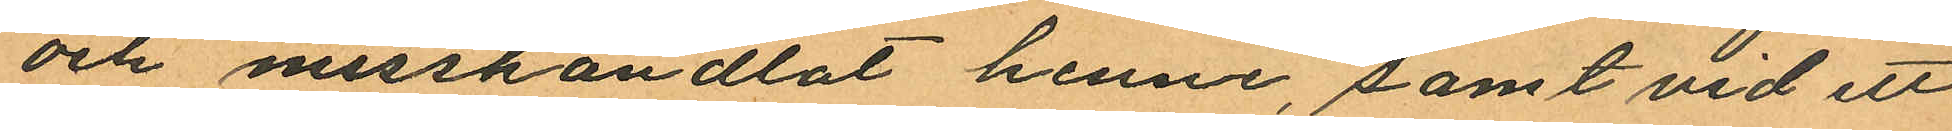och misshandlat henne, samt vid ett
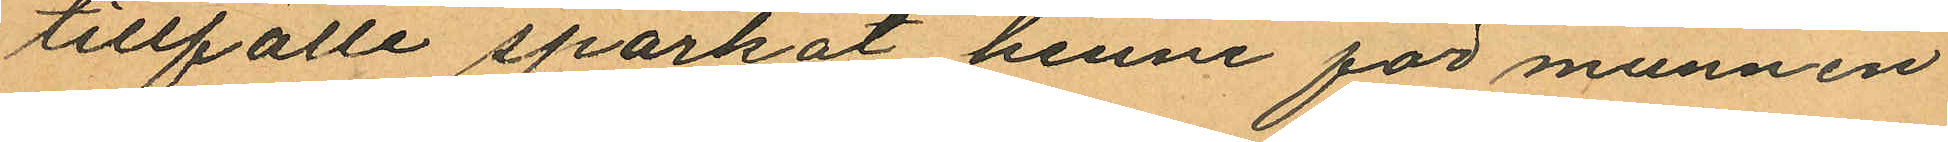tillfälle sparkat henne för munnen
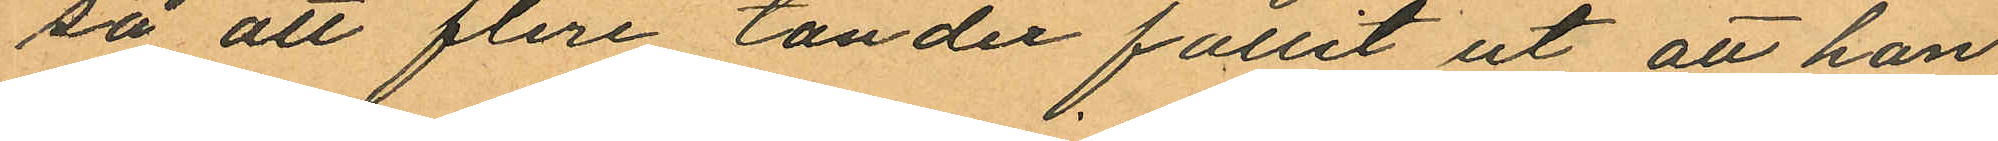så att flera tänder fallit ut att han
